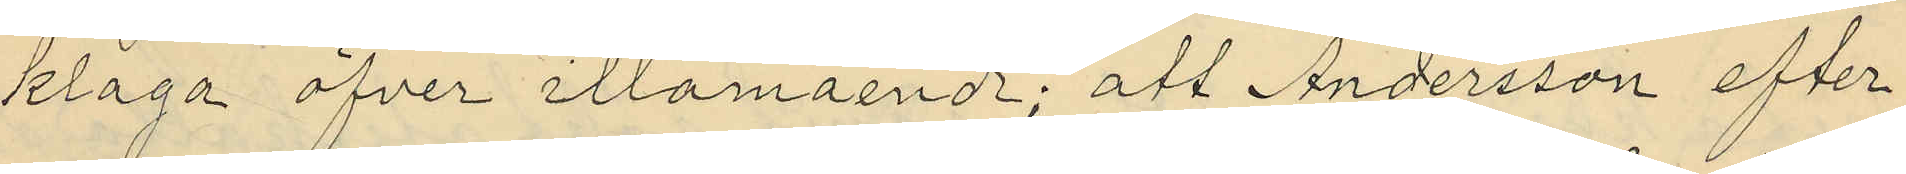klaga öfver illamående; att Andersson efter
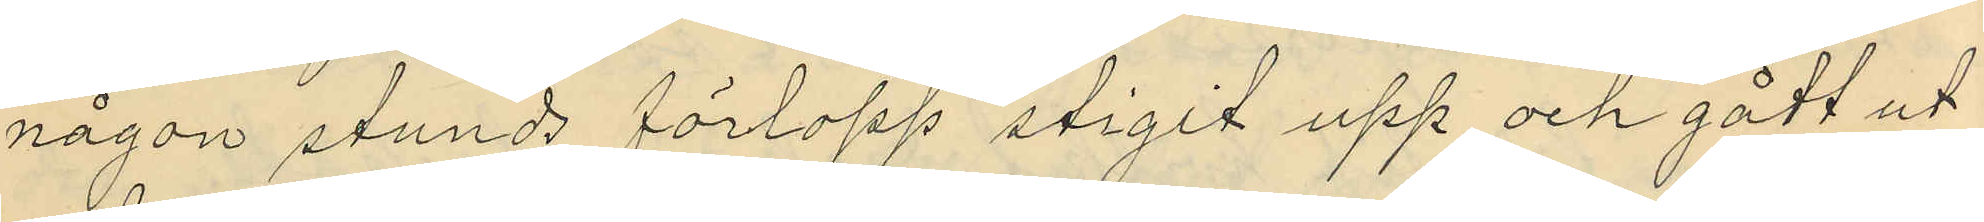någon stunds förlopp stigit upp och gått ut
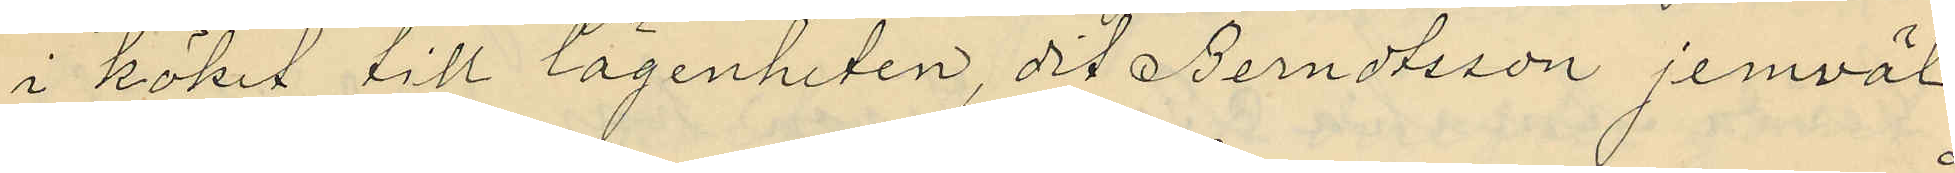i köket till lägenheten, dit Berndtsson jemväl
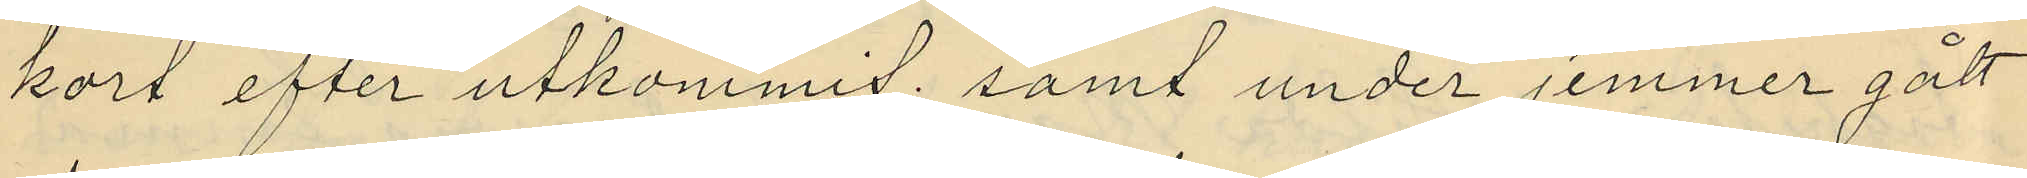kort efter utkommit; samt under jemmer gått
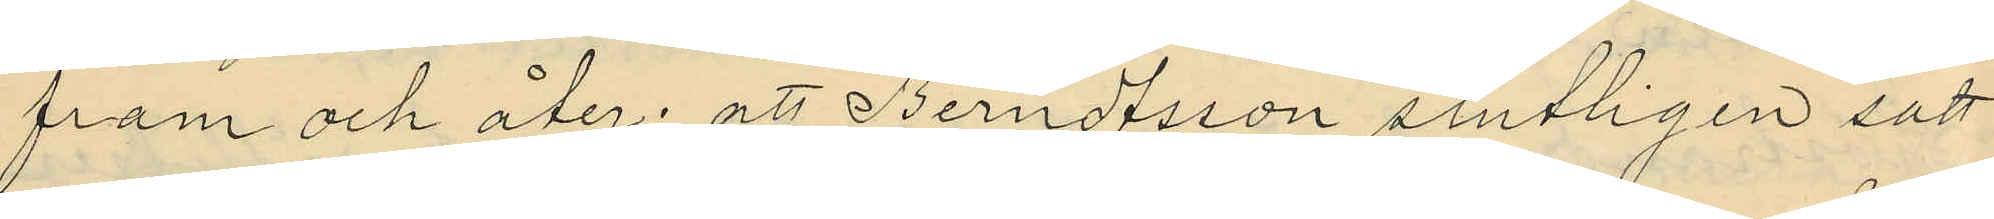fram och åter; att Berndtsson slutligen satt
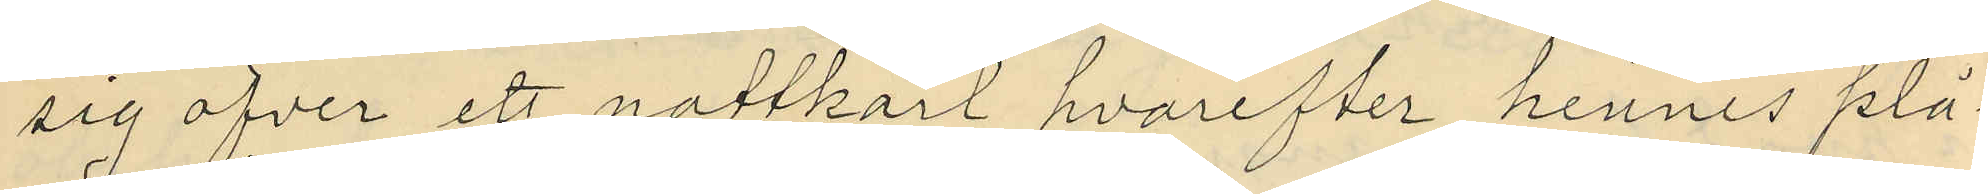sig öfver ett nattkärl hvarefter hennes plå¬
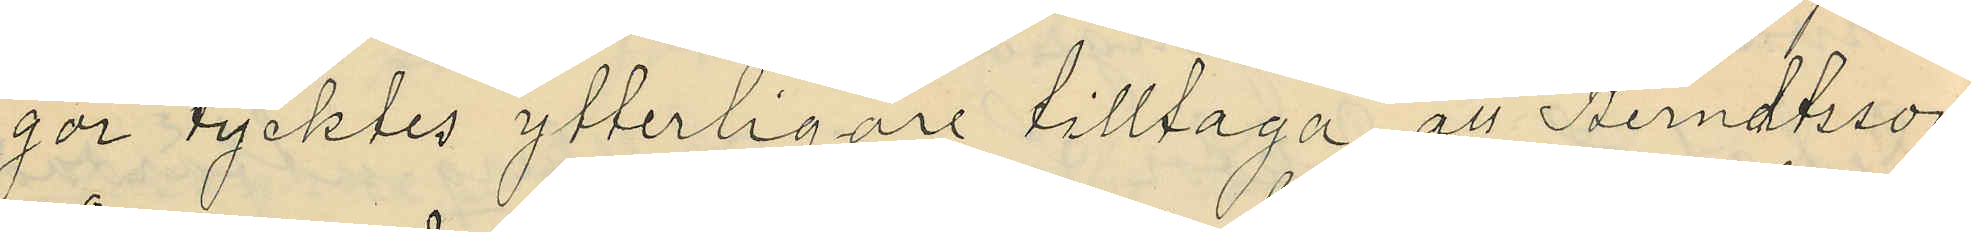gor tycktes ytterligare tilltaga, att Berndtsson
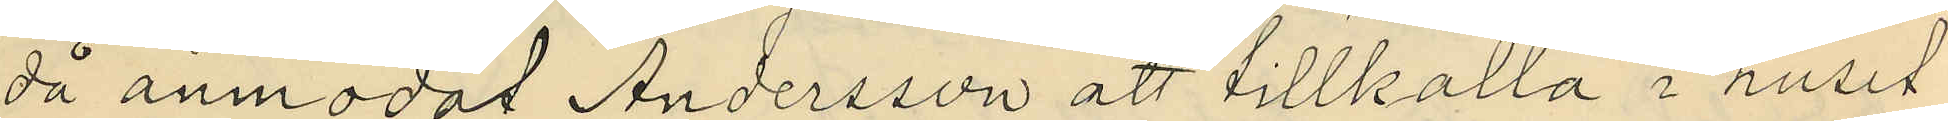då anmodat Andersson att tillkalla i huset
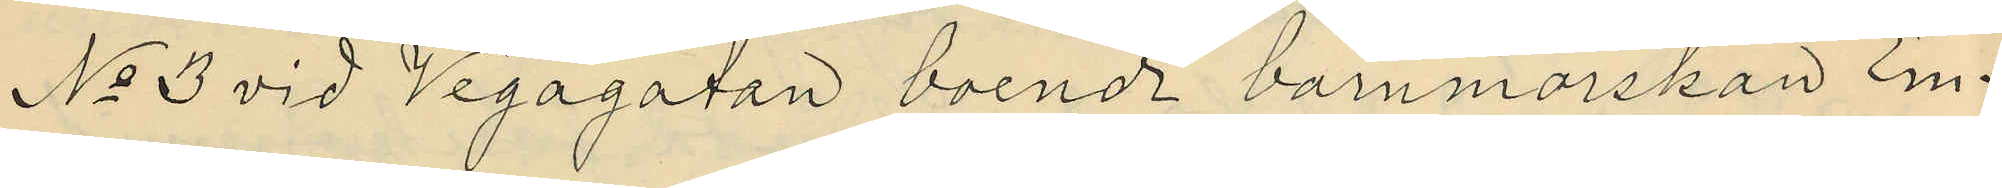No 3 vid Vegagatan boende barnmorskan Em¬
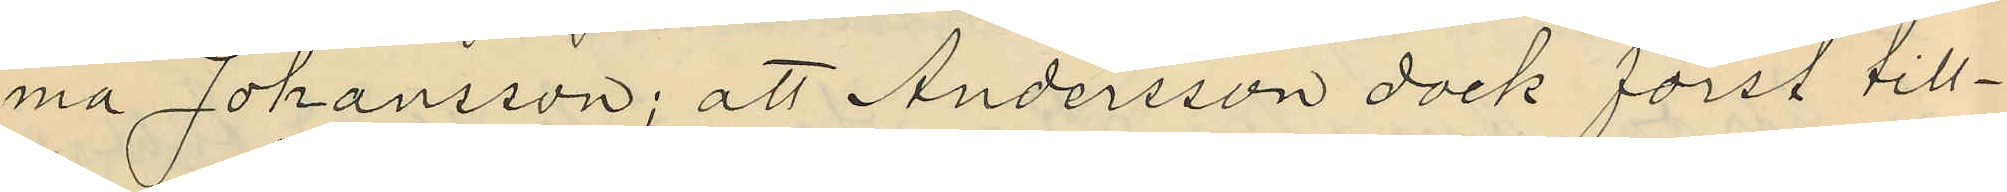ma Johansson; att Andersson dock först till¬
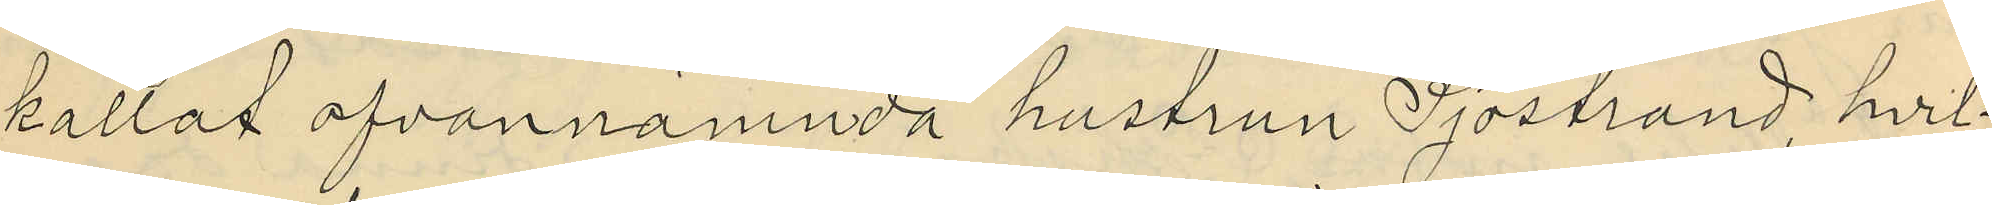kallat ofvannämnda hustrun Sjöstrand, hvil¬
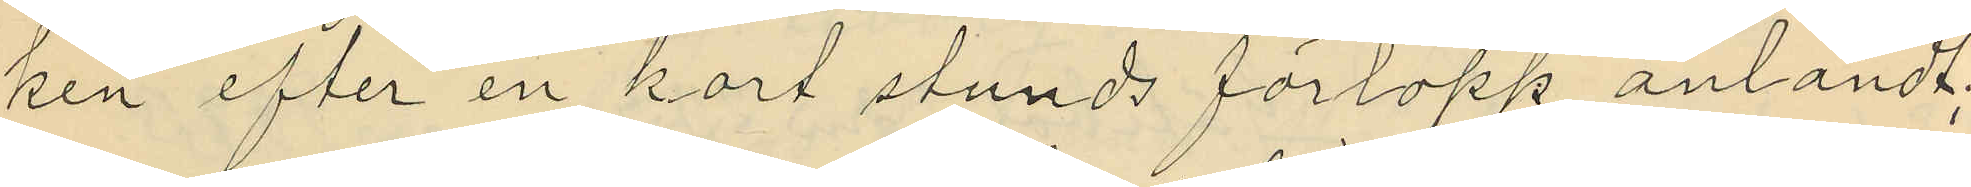ken efter en kort stunds förlopp anländt;
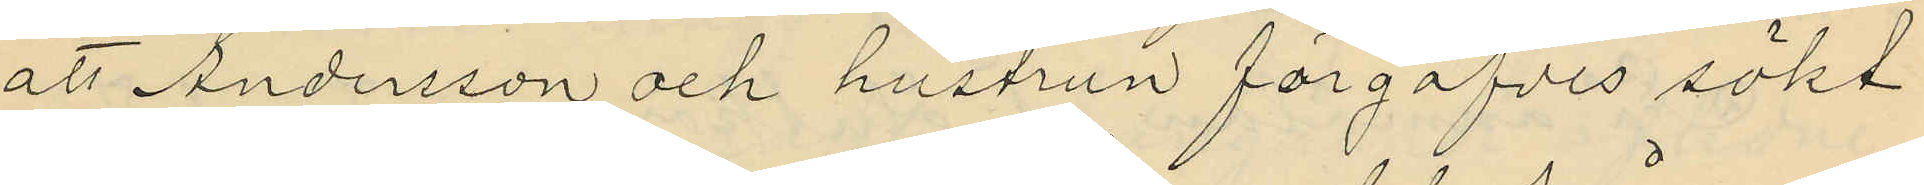att Andersson och hustrun förgäfves sökt
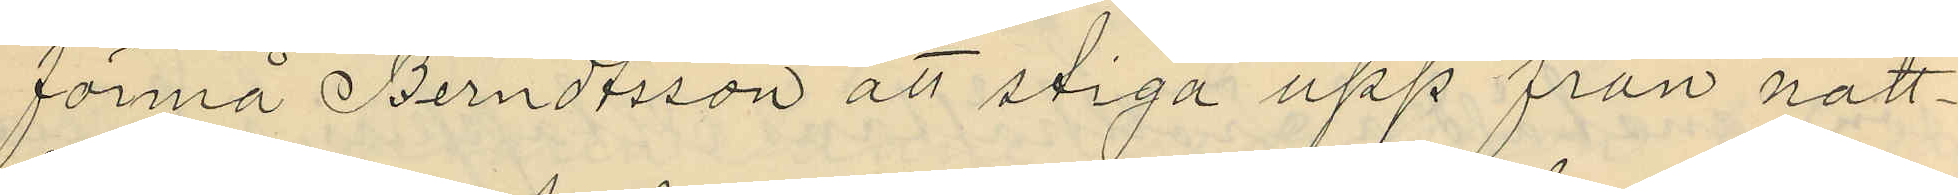förmå Berndtsson att stiga upp från natt¬
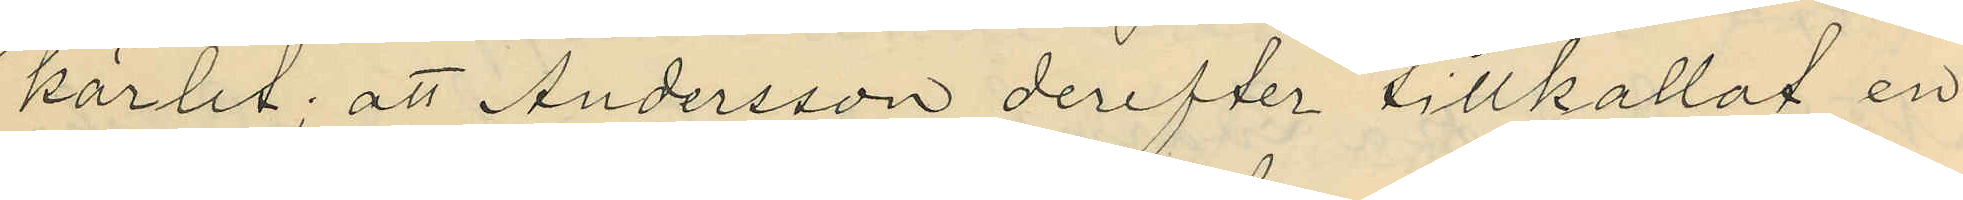kärlet; att Andersson derefter tillkallat en
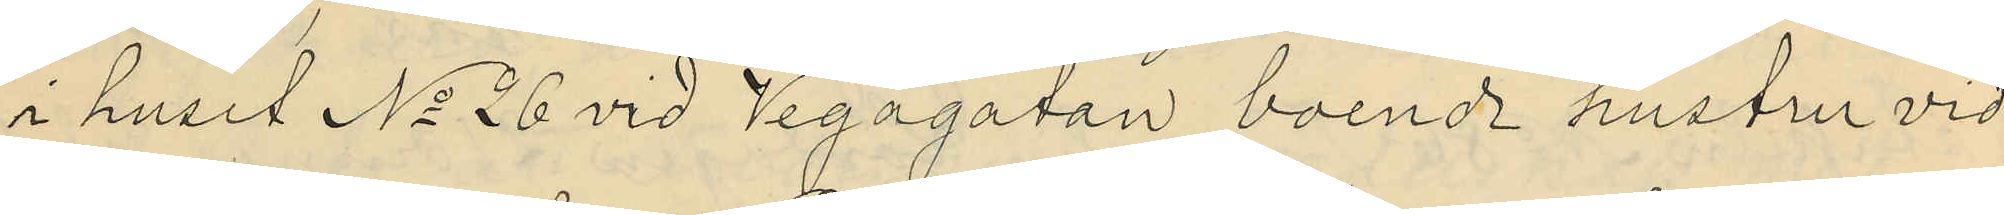i huset No 26 vid Vegagatan, boende hustru vid
